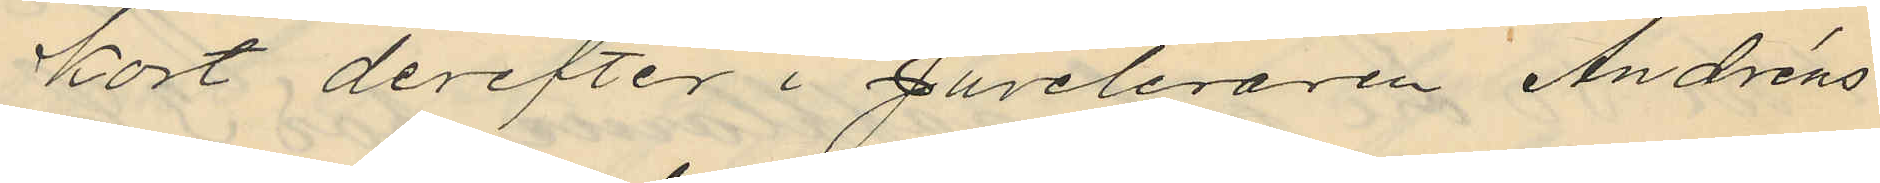kort derefter i Juveleraren Andréns
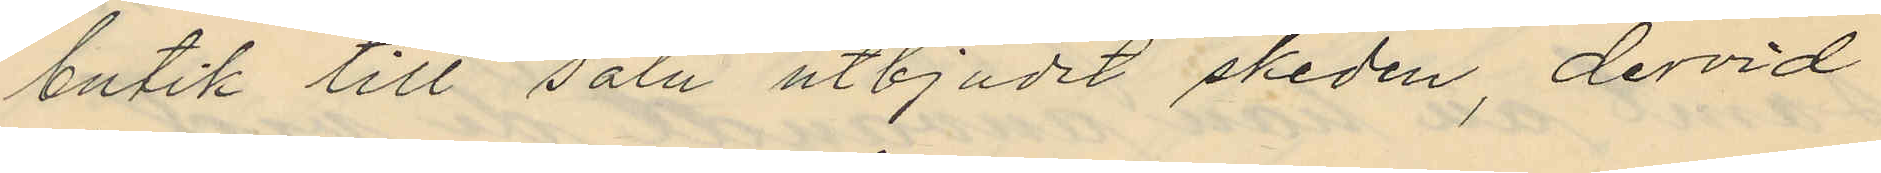butik till salu utbjudit skeden, dervid
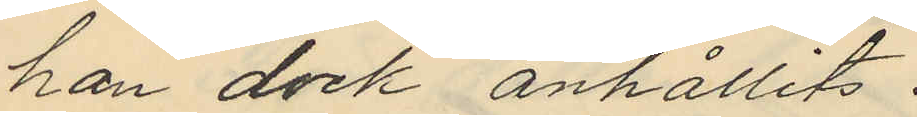han dock anhållits.
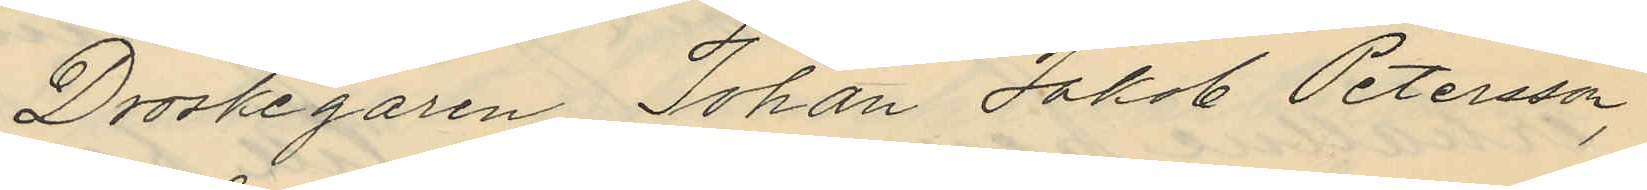Droskegaren Johan Jakob Petersson,
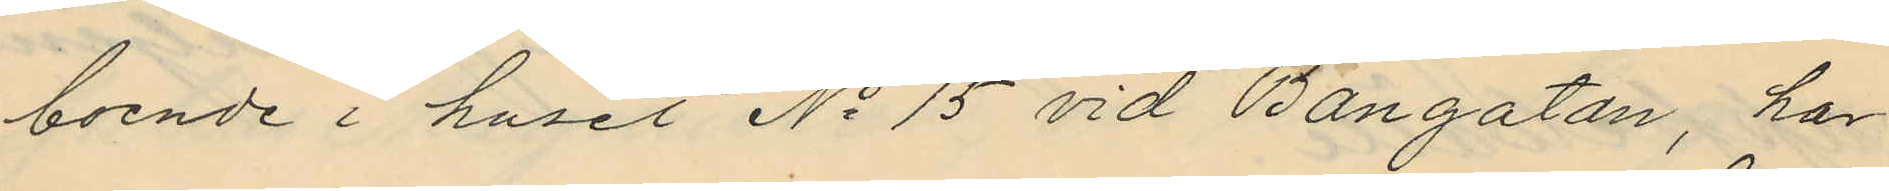boende i huset No 15 vid Bangatan, har
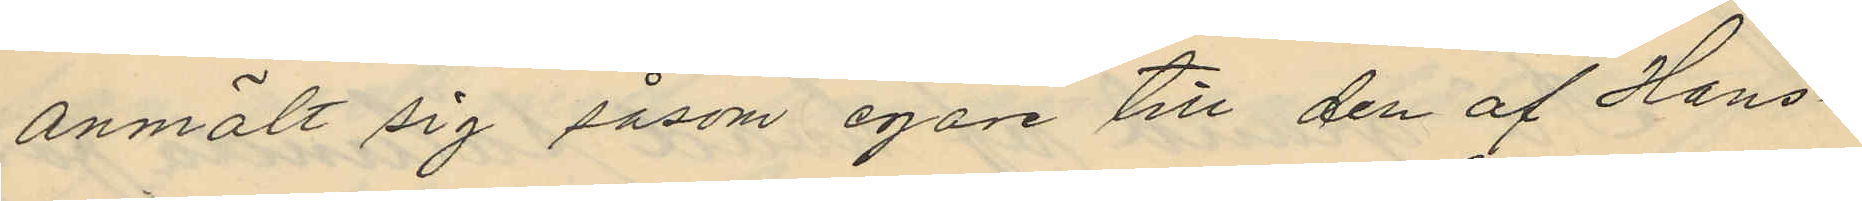anmält sig såsom egare till den af Hans¬
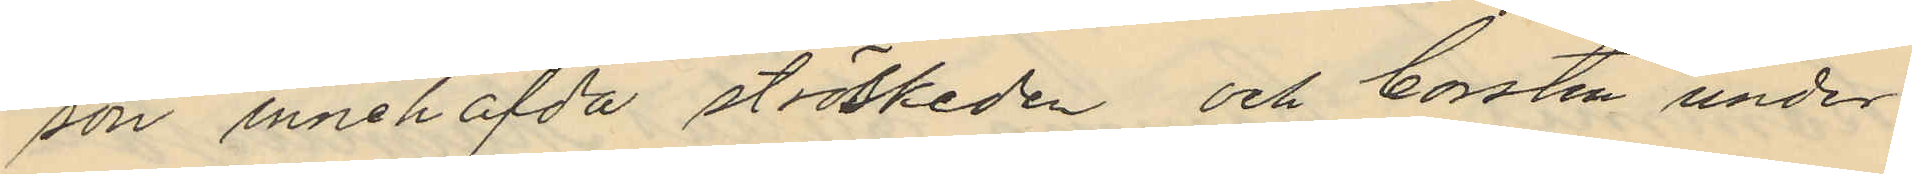son innehafvda ströskeden och borsten under
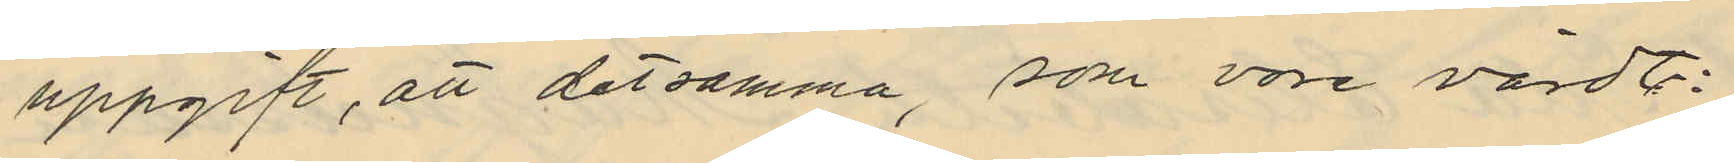uppgift, att detsamma, som vore värdt:
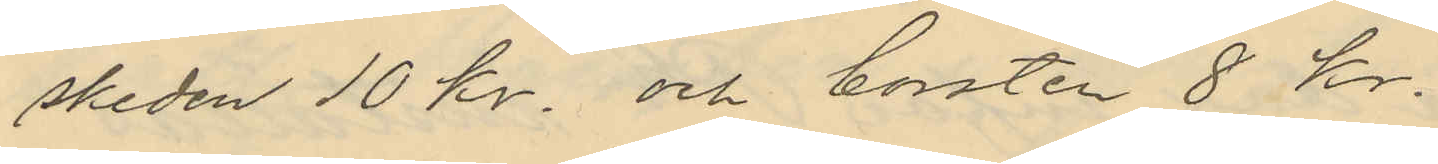skeden 10 kr. och borsten 8 Kr.
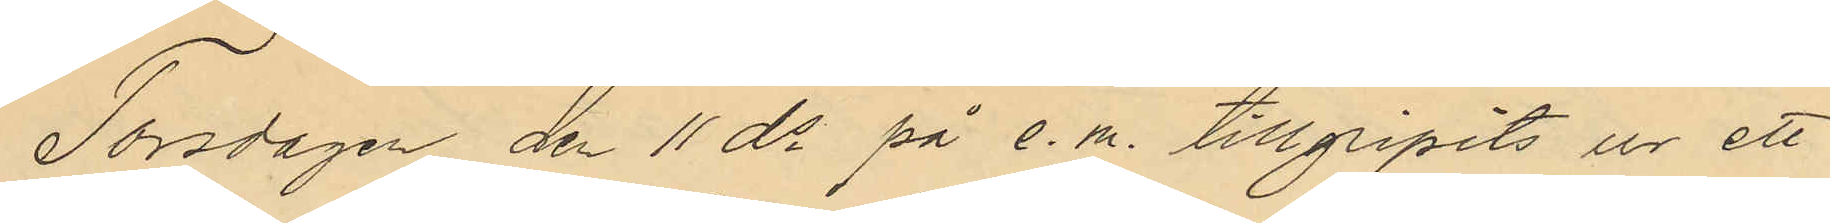Torsdagen den 11 ds på e.m. tillgripits ur ett
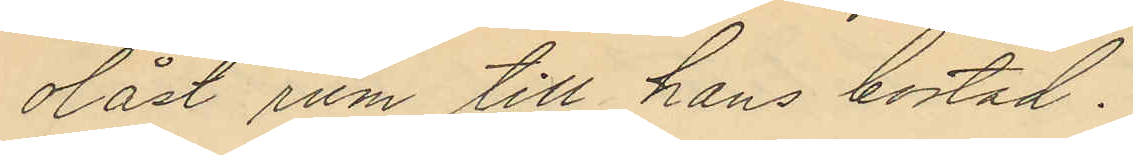olåst rum till hans bostad.
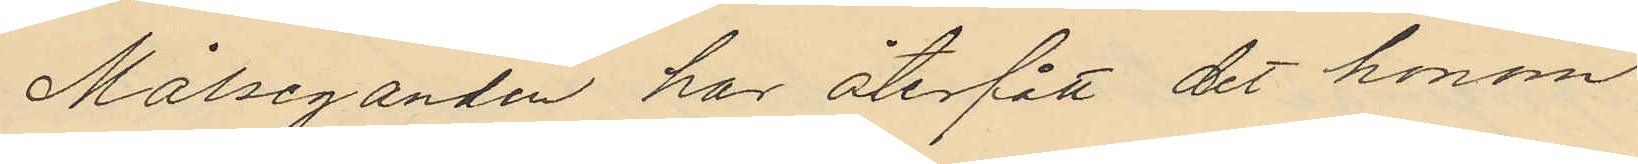Målseganden har återfått det honom
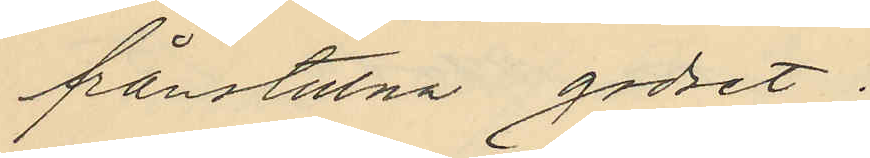frånstulna godset.
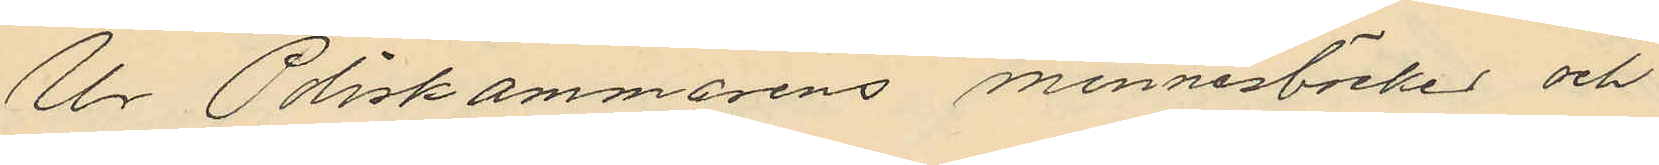Ur Poliskammarens minnesböcker och
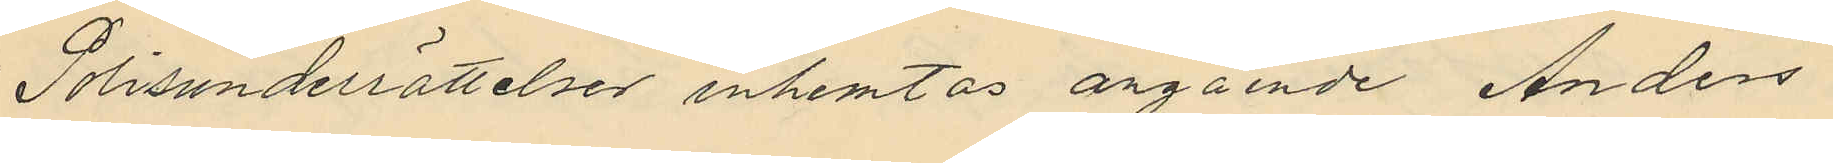Polisunderrättelser inhemtas angående Anders
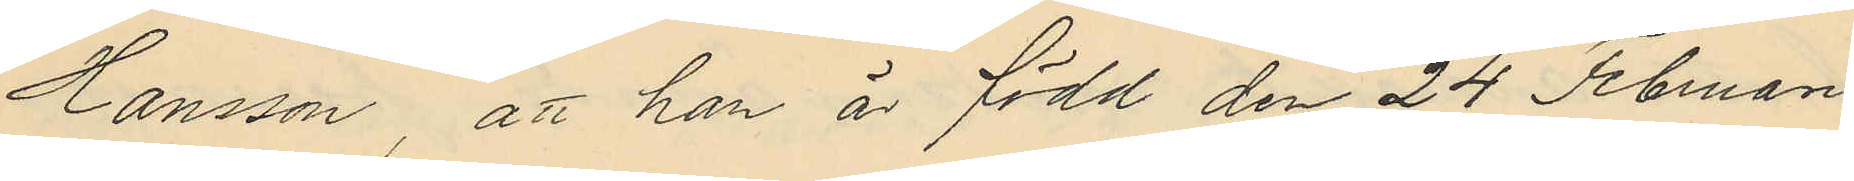Hansson, att han är född den 24 Februari
